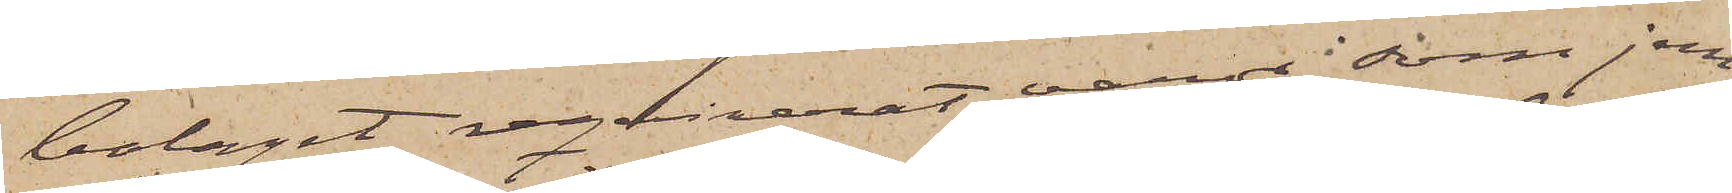bolaget reqvirerat varor, som jem¬
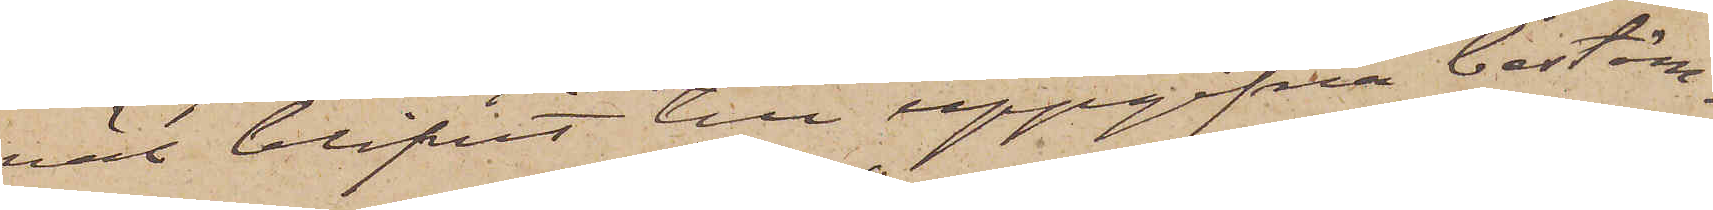väl blifvit till uppgifna bestäm¬
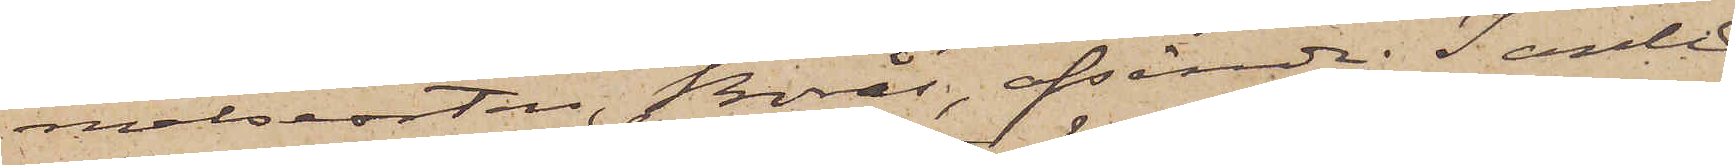melseorten, Borås, afsände. I anled¬
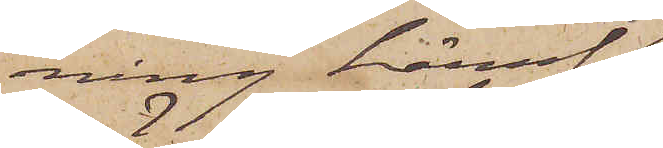ning häraf
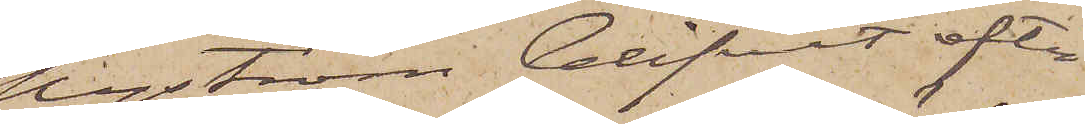Nyström blifvit efter¬
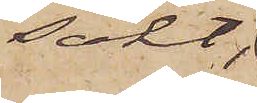sökt
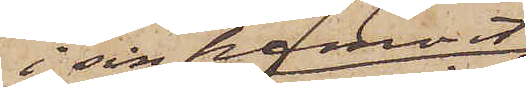i sin hemort,
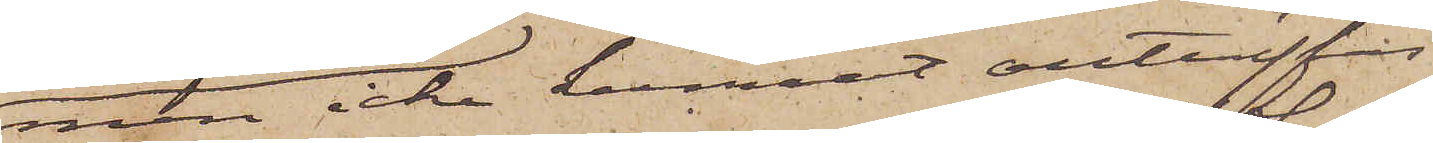men icke kunnat anträffas
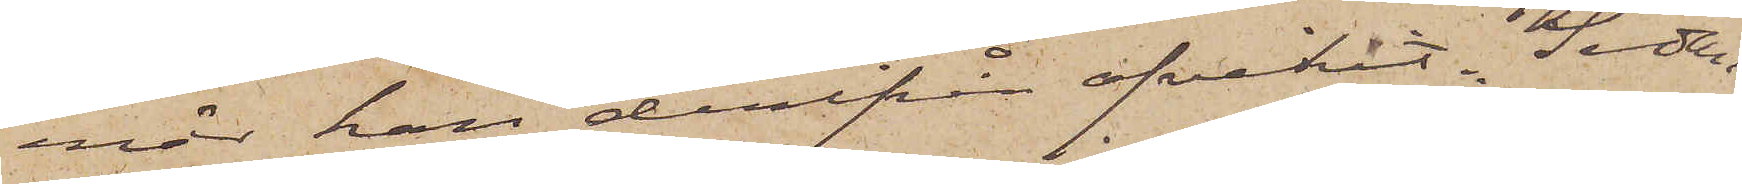enär han derifrån afvikit. Sedan
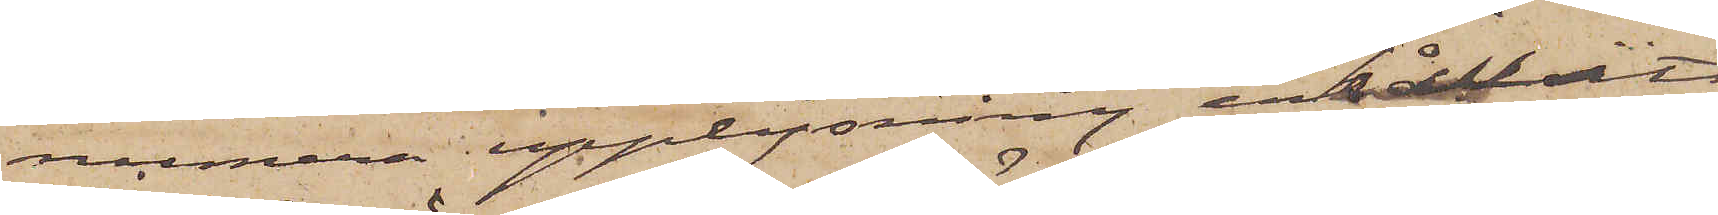numera upplysning erhållits
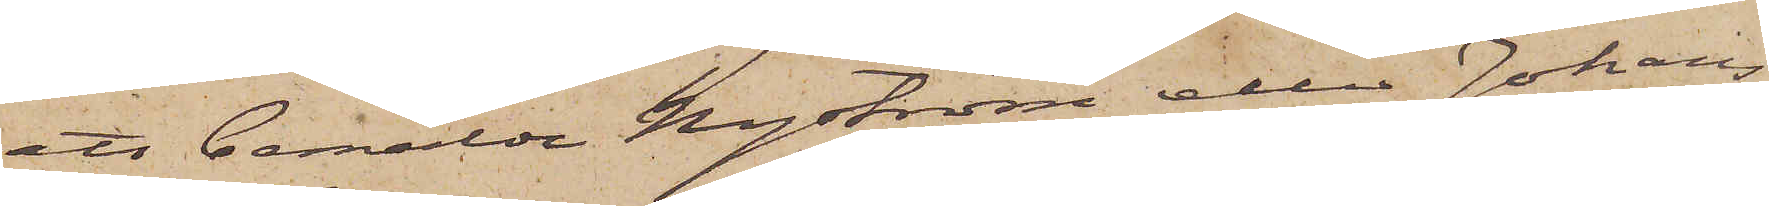att bemälde Nyström eller Johans¬
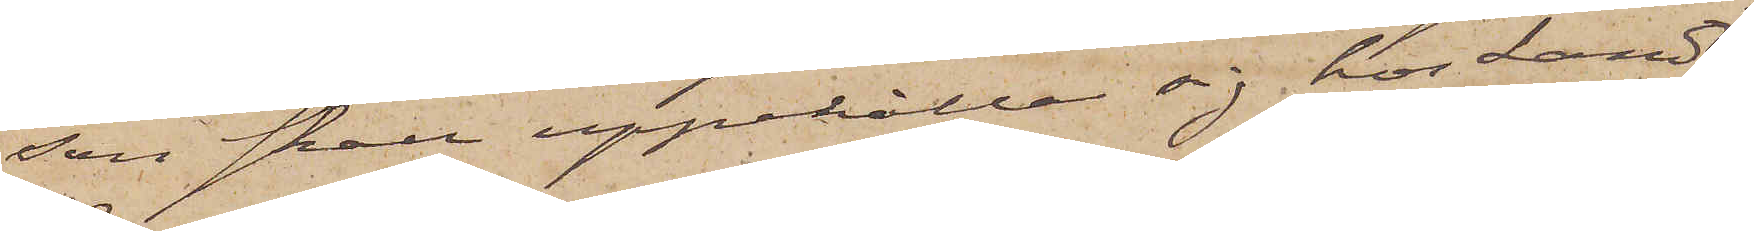son skall uppehålla sig hos Landt¬
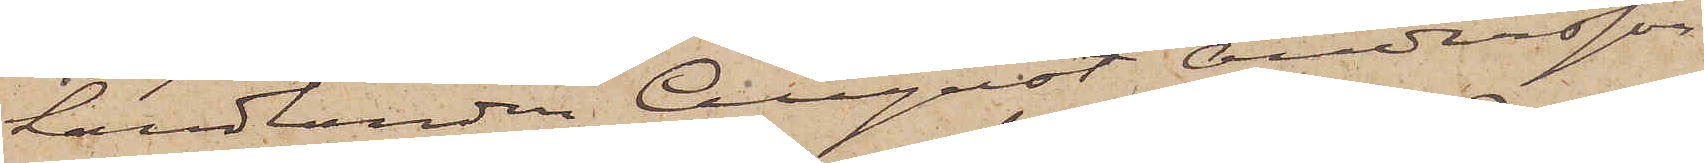handlanden August Andersson
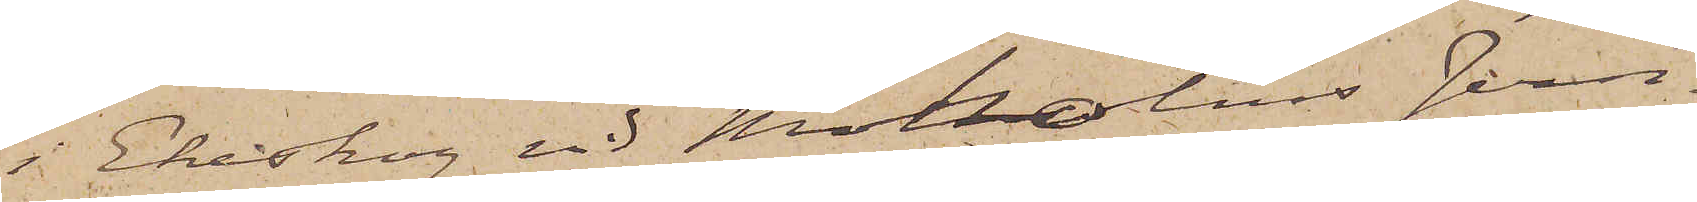i Ekeskog vid Moholms Jern¬
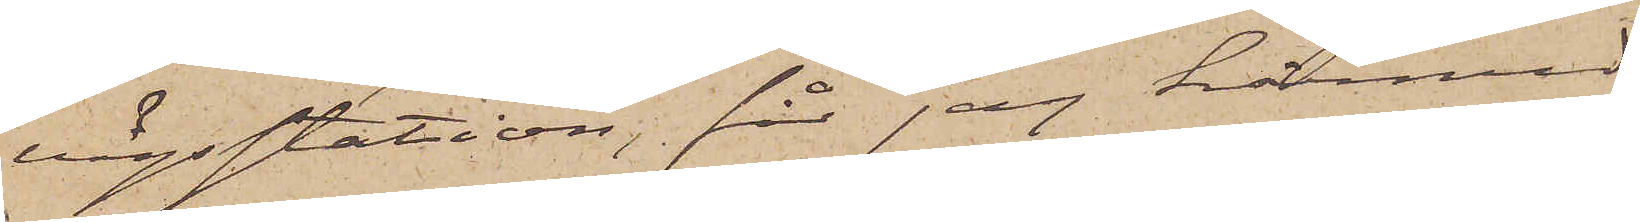vägsstation, får jag härmed
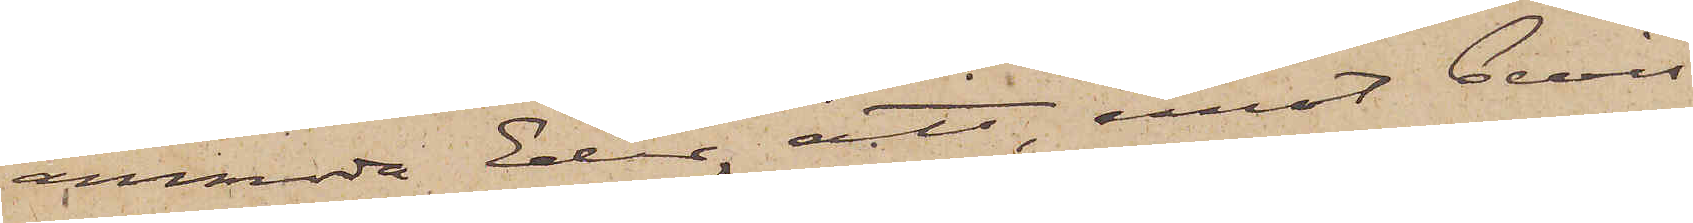anmoda Eder, att, emot bevis
